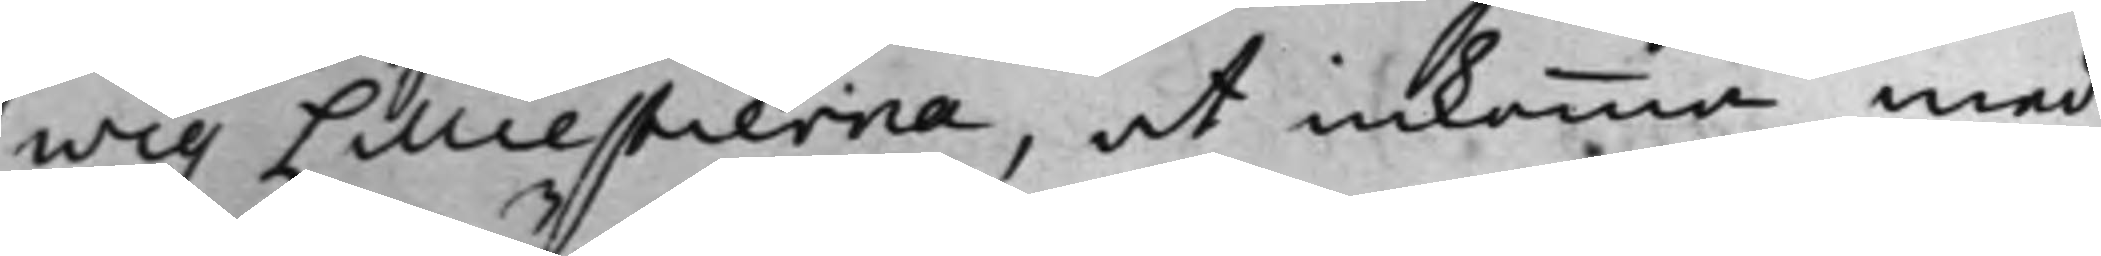wig Lilliestierna, at inkomma med
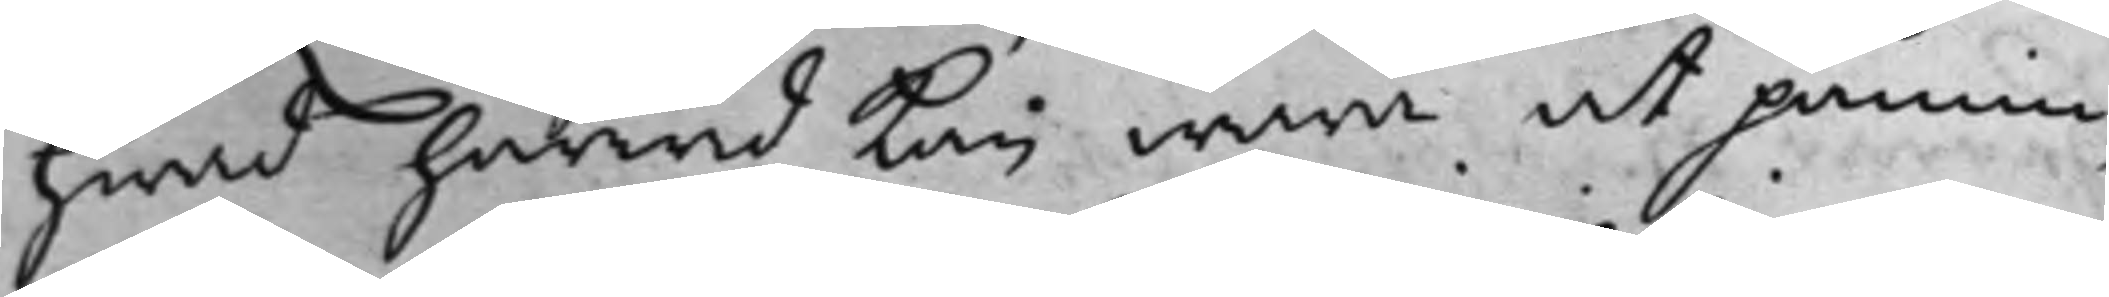hwad härwid kan wara at påmin¬
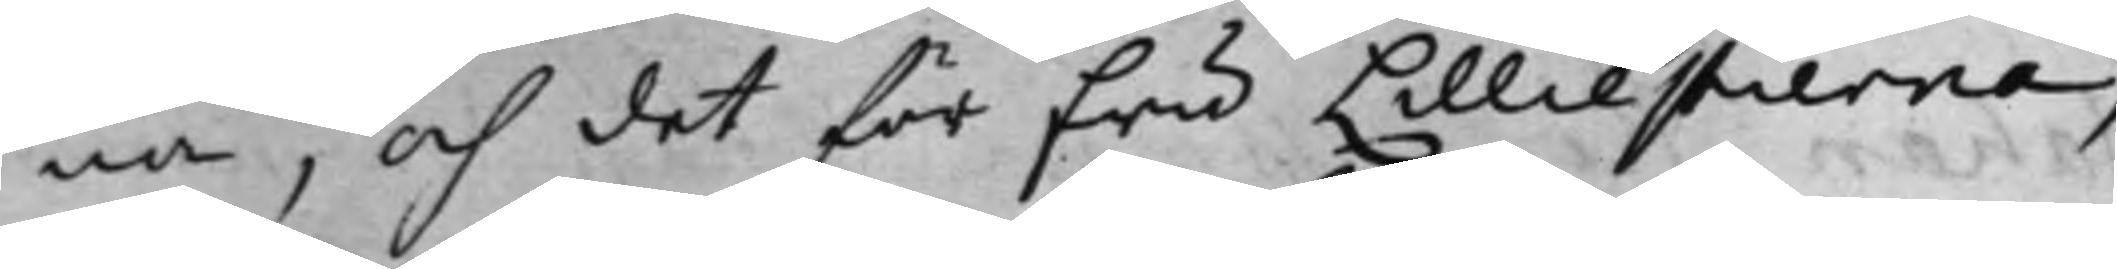na, och det för fru Lilliestierna,
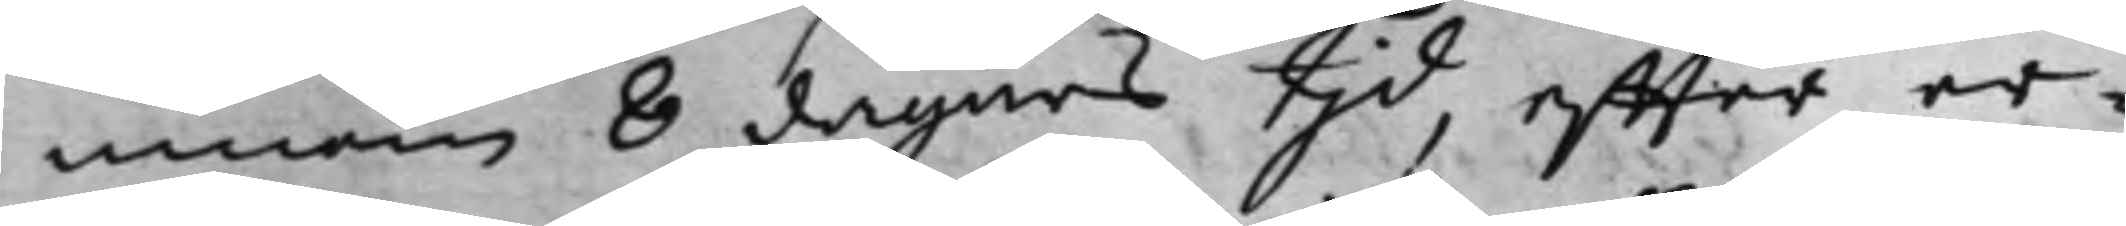innom 8 dagars tjd, effter er¬
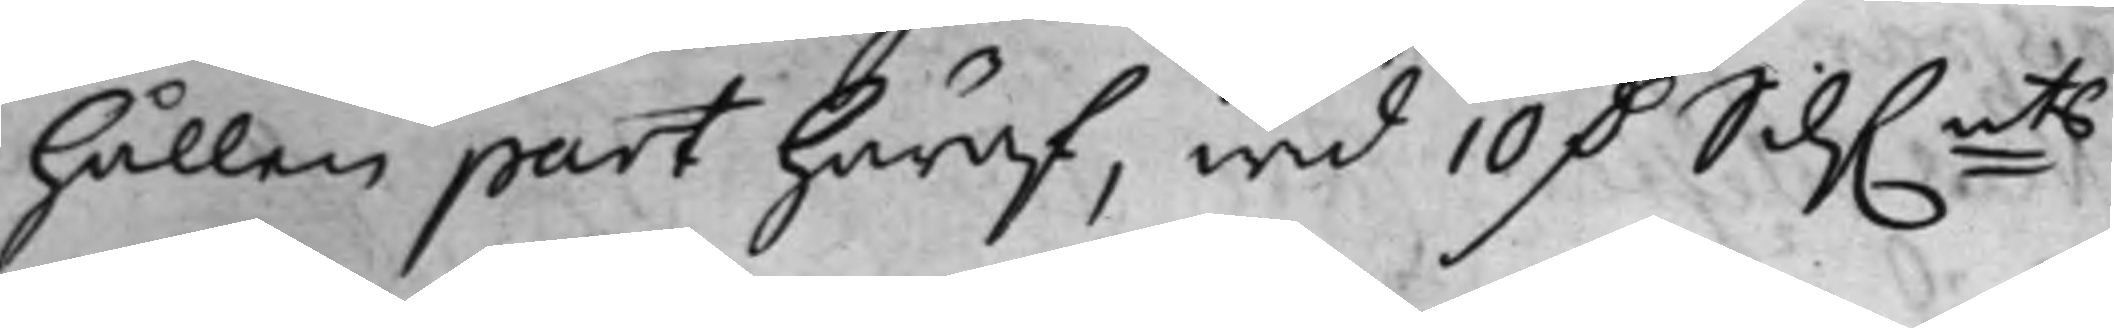hållen part häraf, wid 10 D. Silf.mts
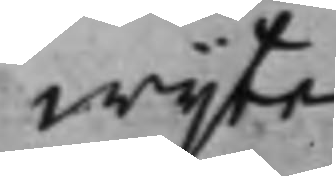wijte.
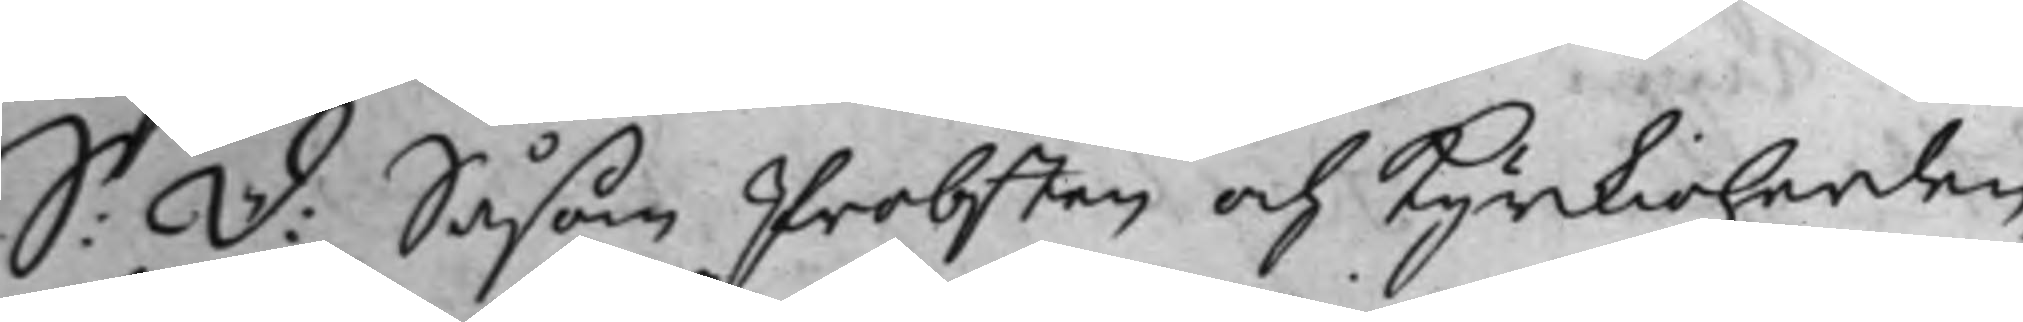S: D: Såsom Probsten och Kyrkioherden
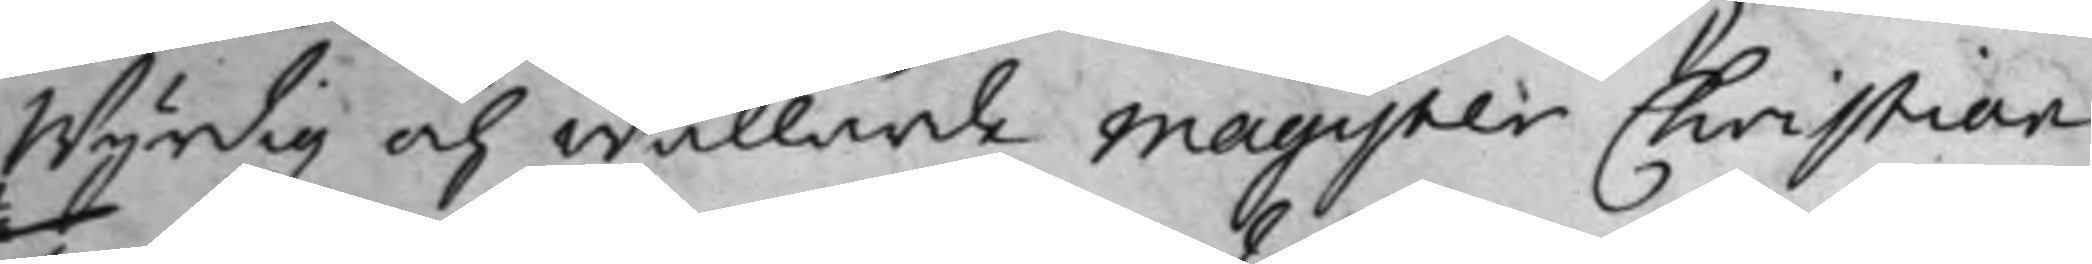wyrdig och wällärde Magister Christian
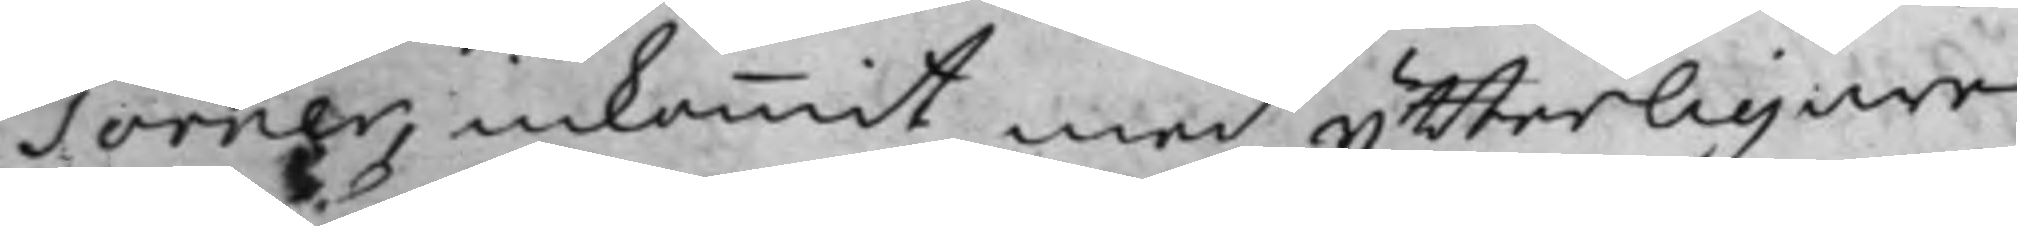Torner inkommit med ytterligare
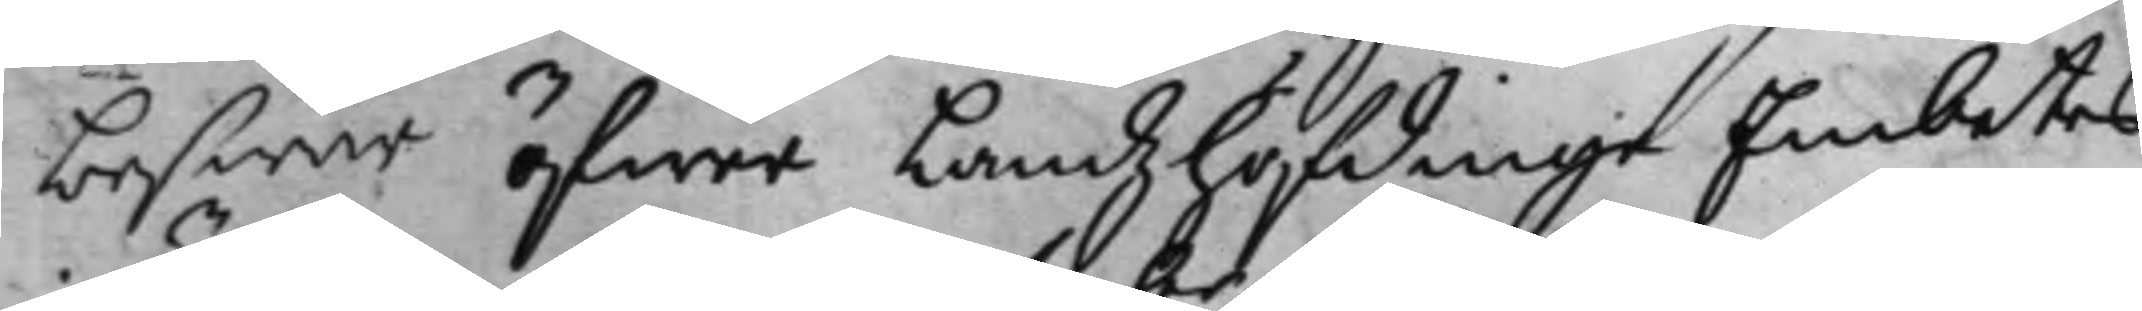beswär öfwer Landzhöfdinge Embetes
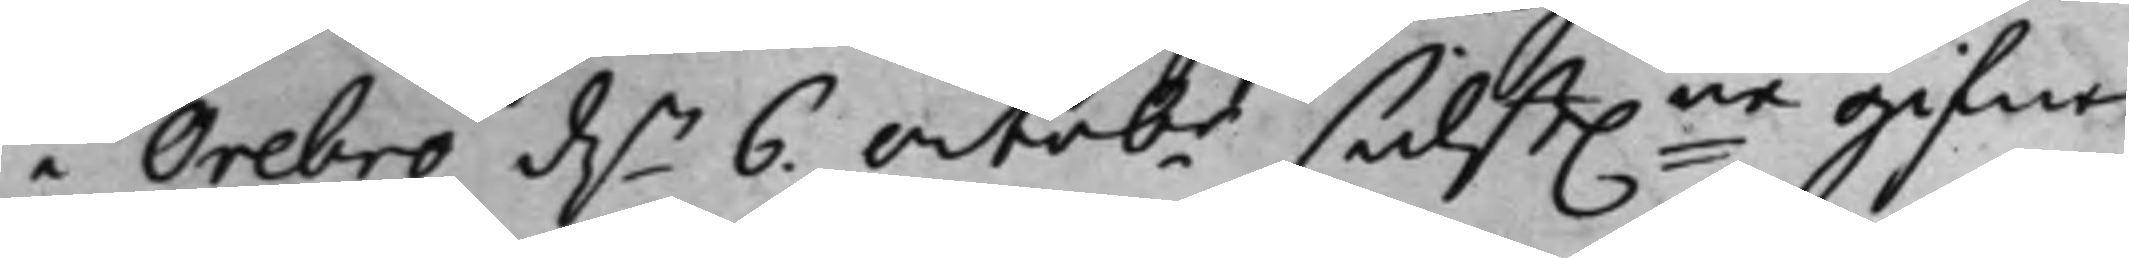i Örebro d.n 6 Octobr sidst.ne gifne
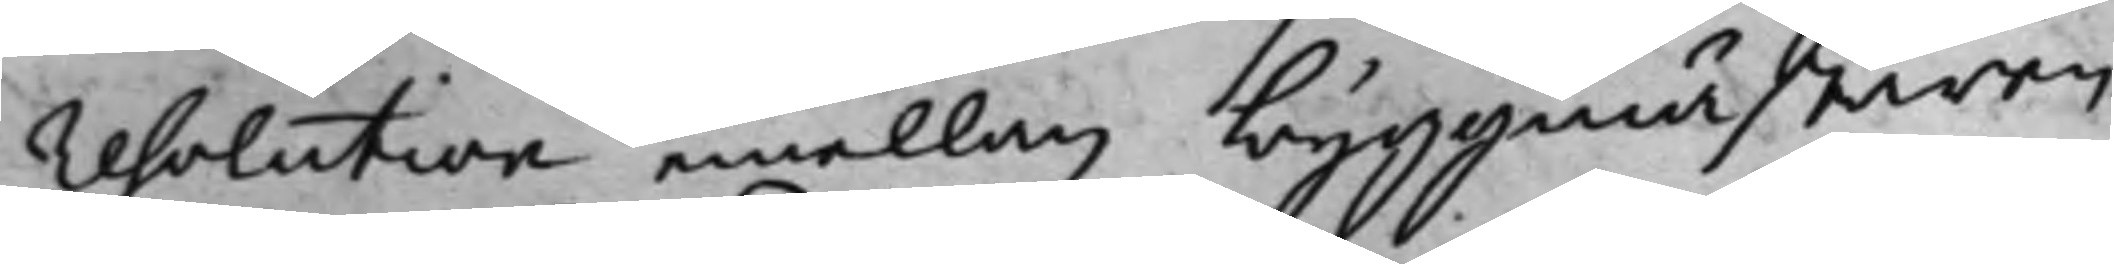resolution emellan byggmästaren
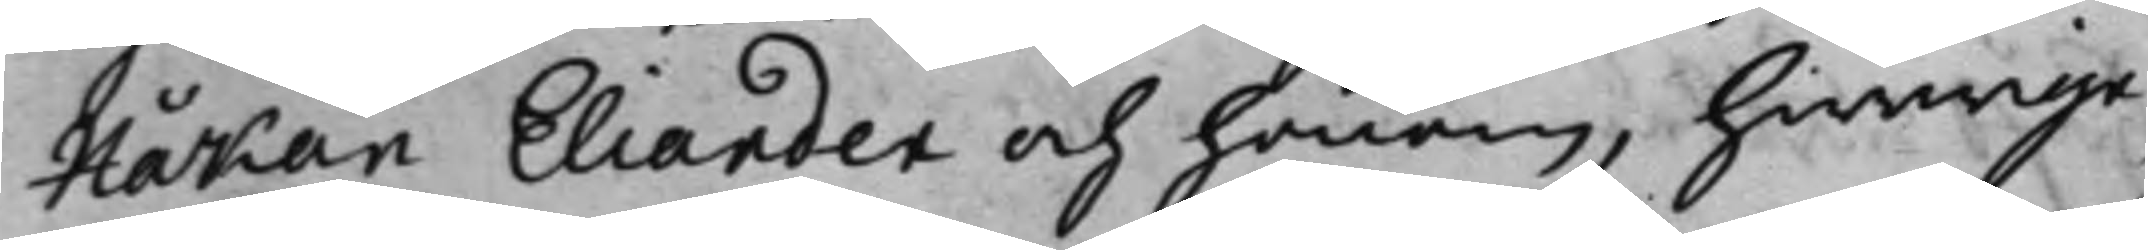Håkan Eliander och honom, hwarige¬
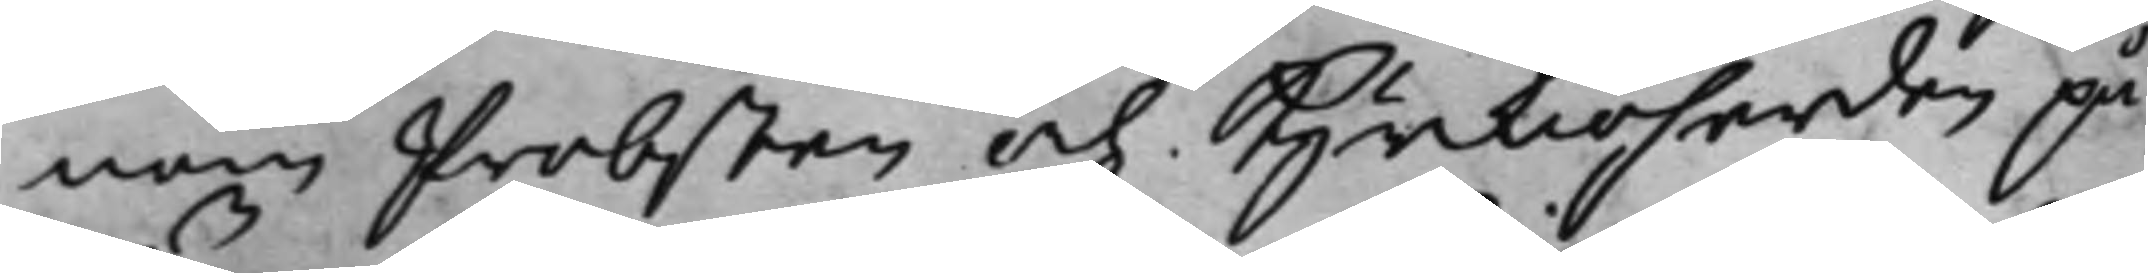nom Probsten och Kyrkioherden på¬
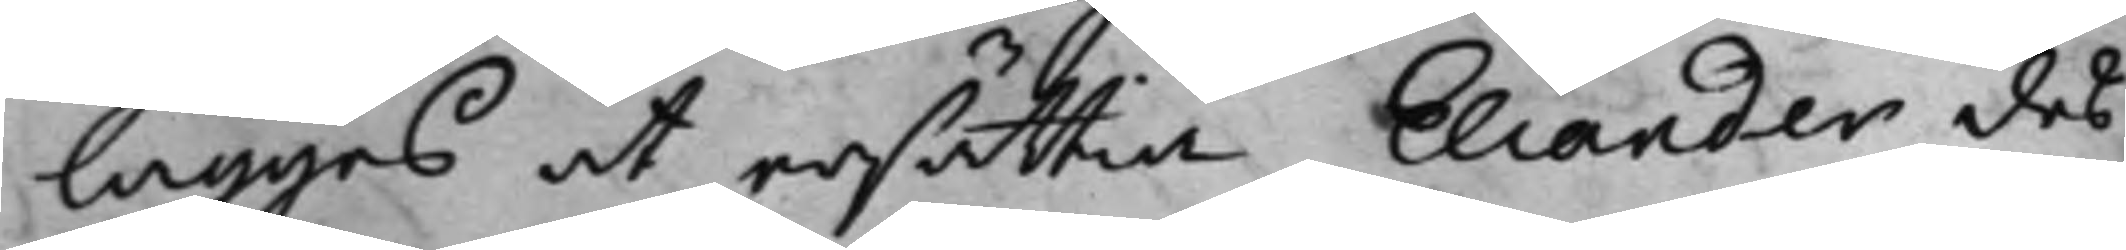läggas at ersättia Eliander des
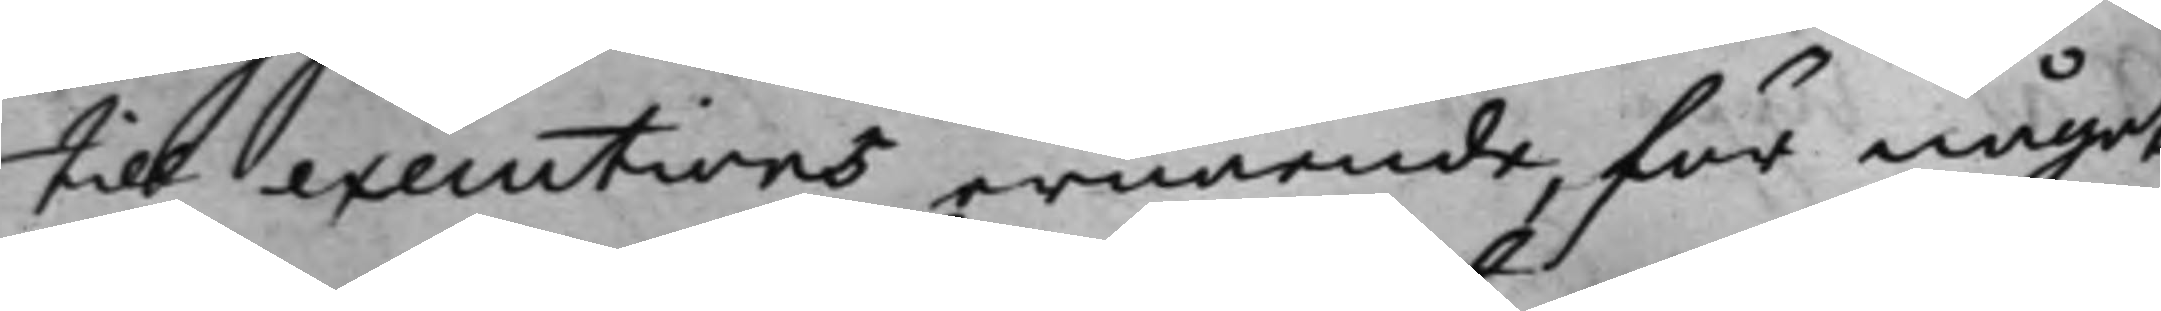till executions ernående, för något
